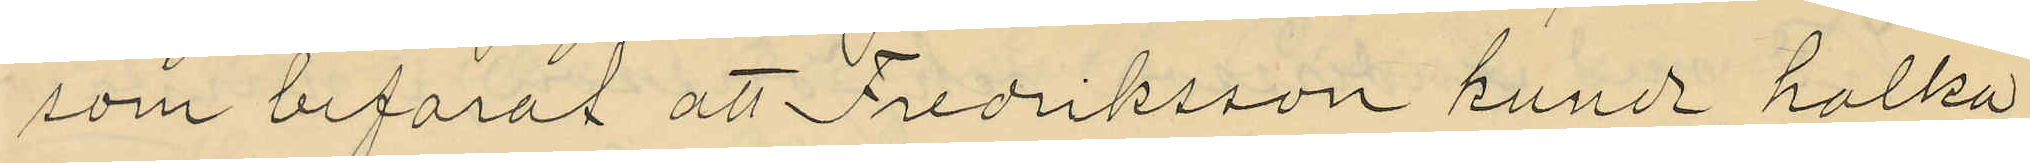som befarat att Fredriksson kunde halka
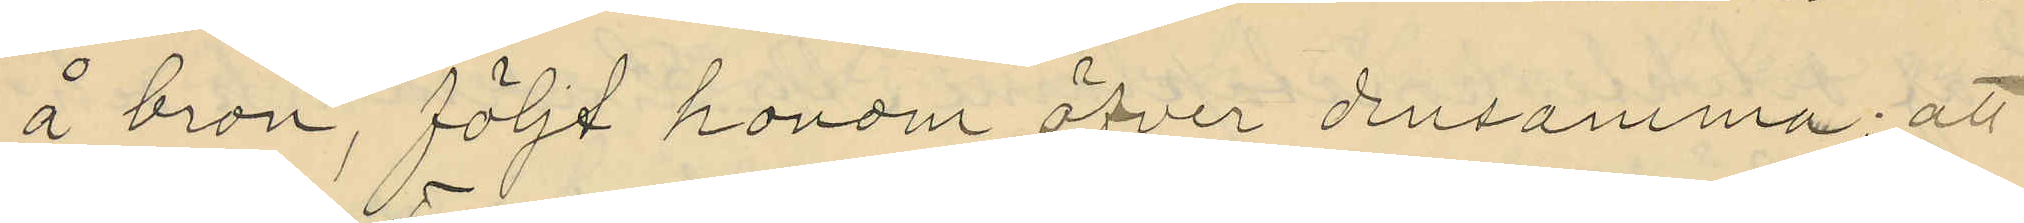å bron, följt honom öfver densamma; att
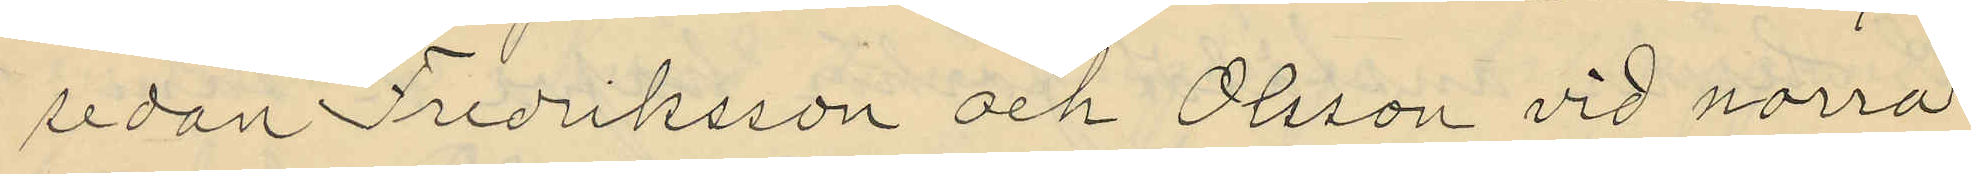sedan Fredriksson och Olsson vid norra
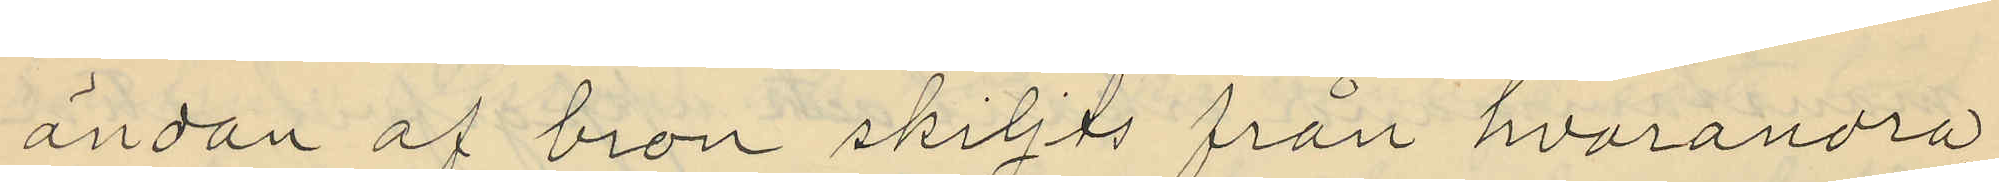ändan af bron skiljts från hvarandra,
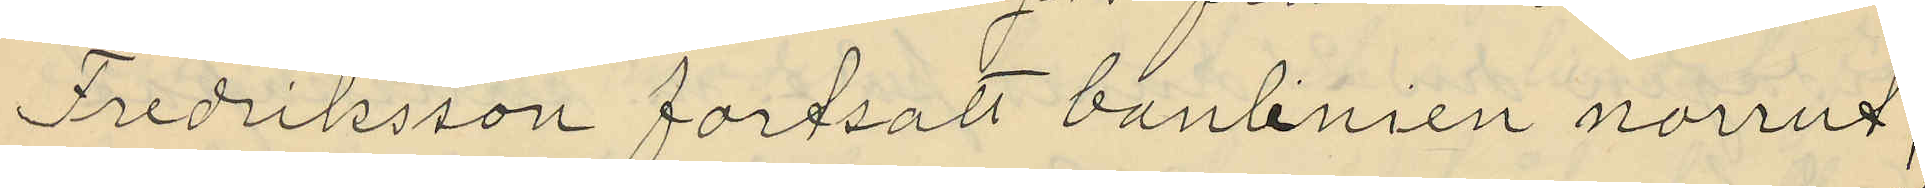Fredriksson fortsatt banlinien norrut,
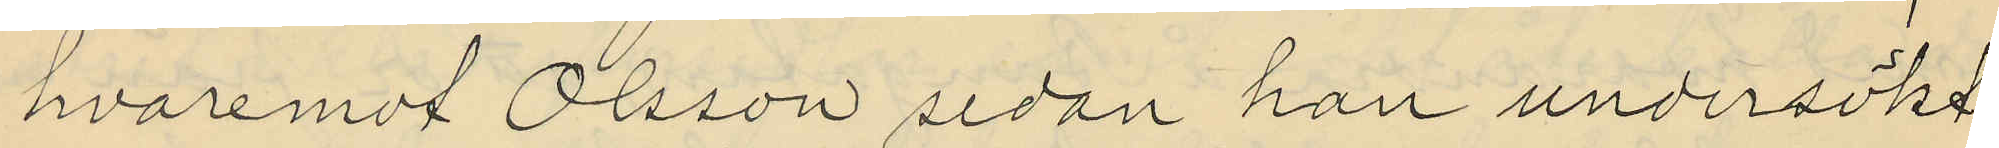hvaremot Olsson sedan han undersökt
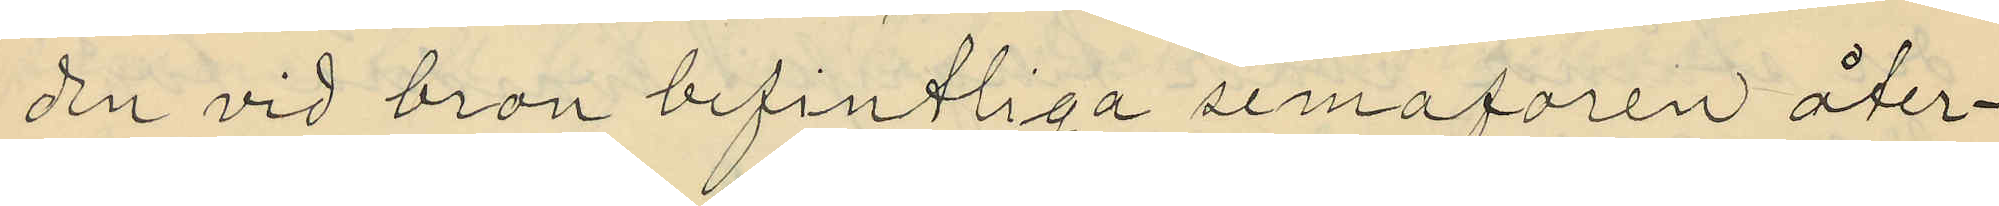den vid bron befintliga semaforen åter¬
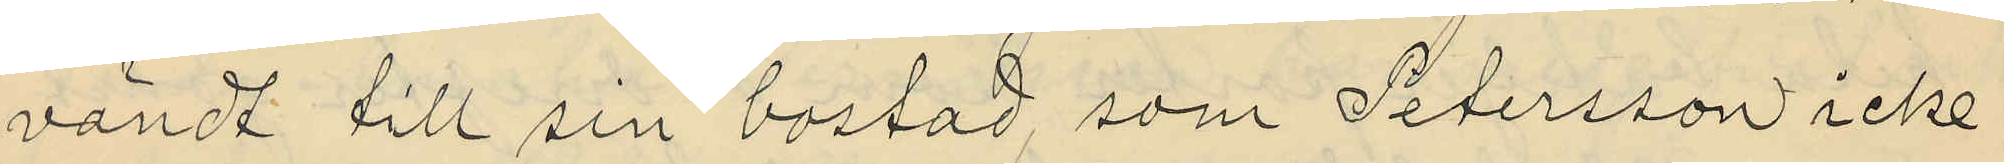vändt till sin bostad, som Petersson icke
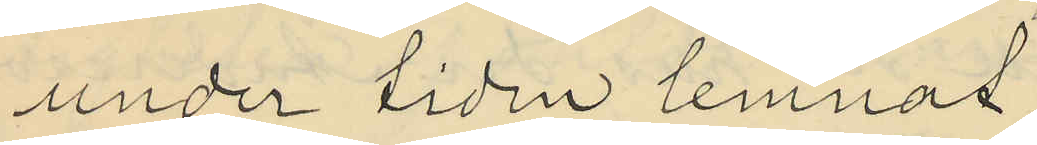under tiden lemnat,
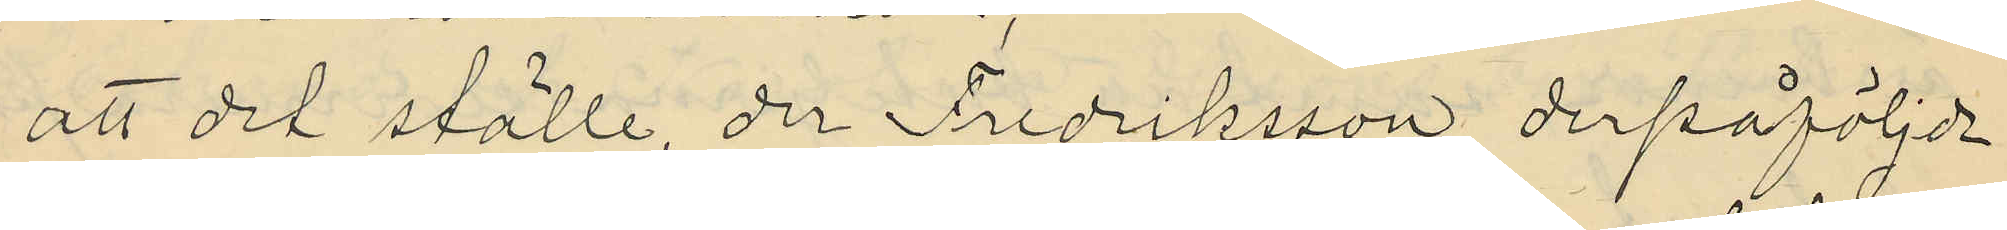att det ställe, der Fredriksson derpåföljde
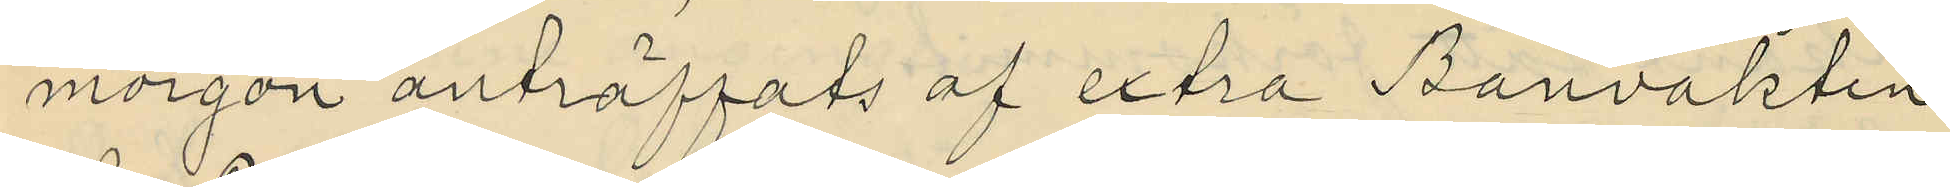morgon anträffats af extra Banvakten
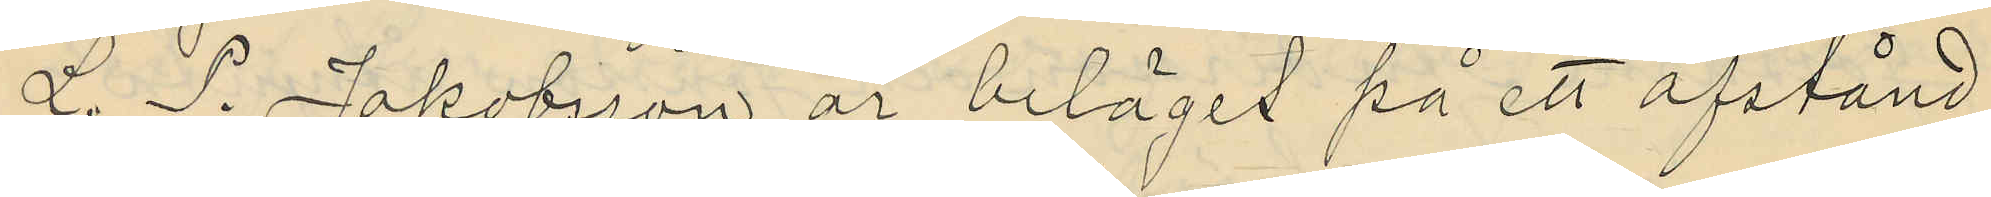L. S. Jakobsson är beläget på ett afstånd
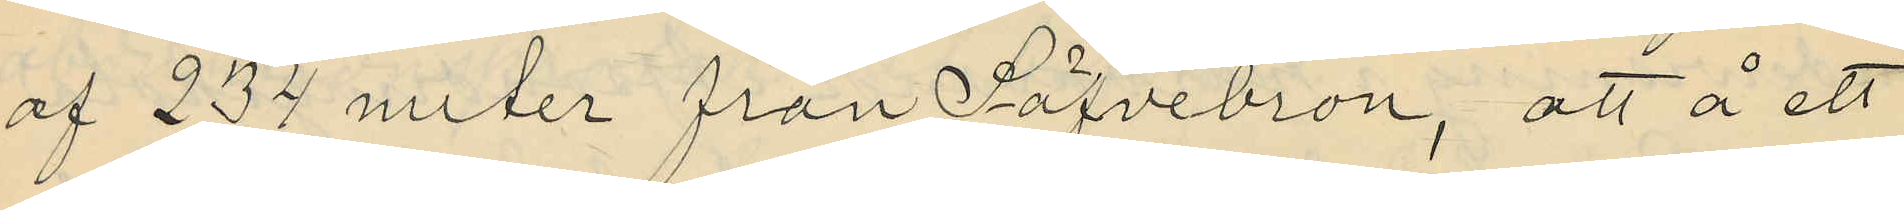af 234 meter från Säfvebron, att å ett
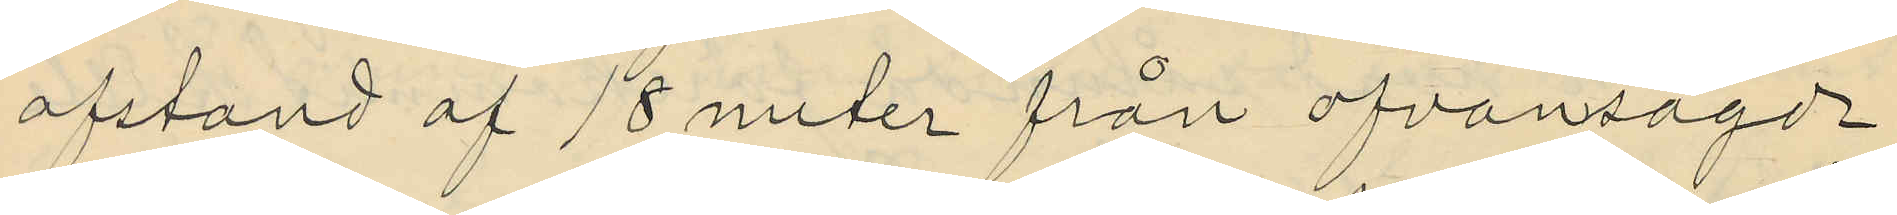afstand af 18 meter från ofvansagde
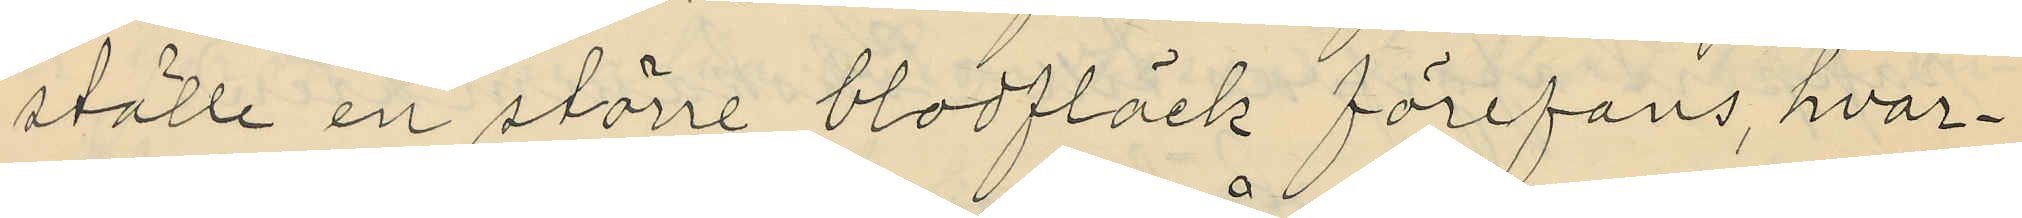ställe en större blodfläck förefans, hvar¬
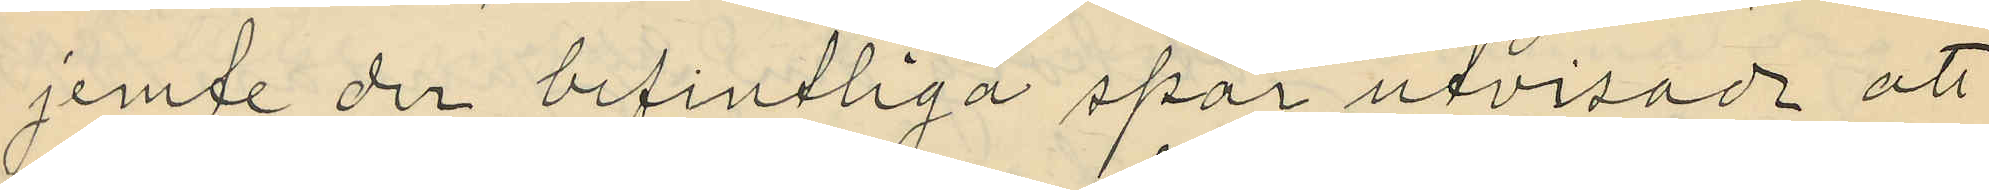jemte der befintliga spår utvisade att
